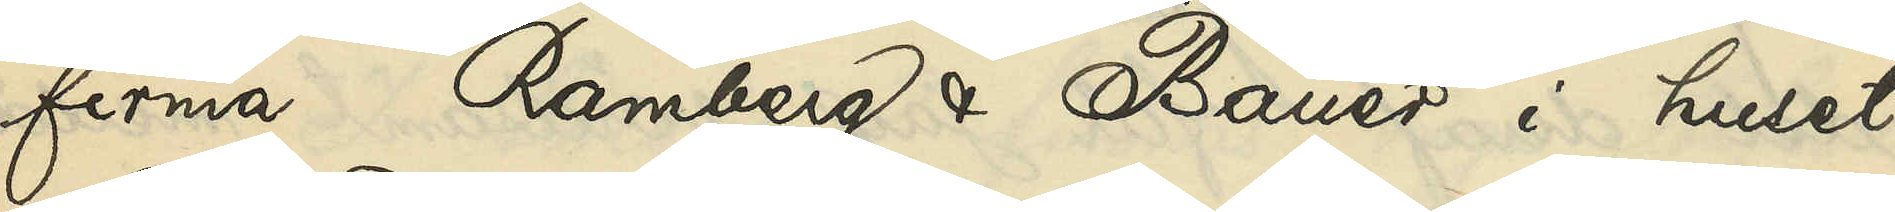firma Ramberg & Bauer i huset
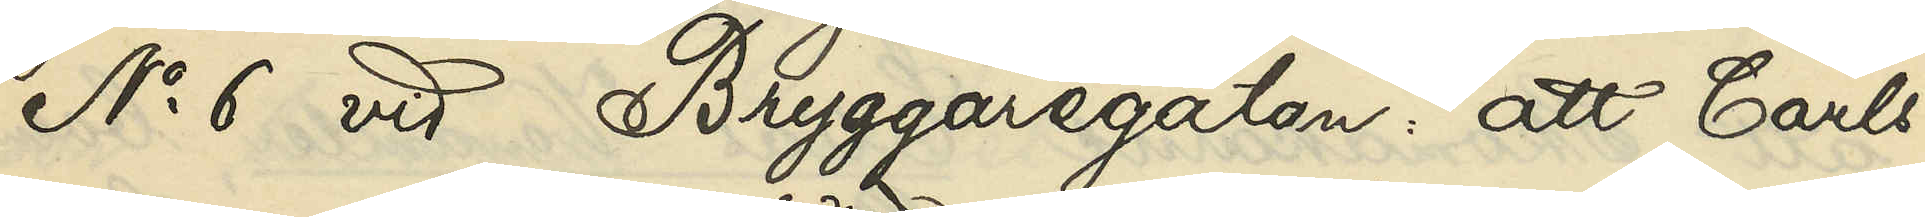No 6 vid Bryggaregatan: att Carls¬
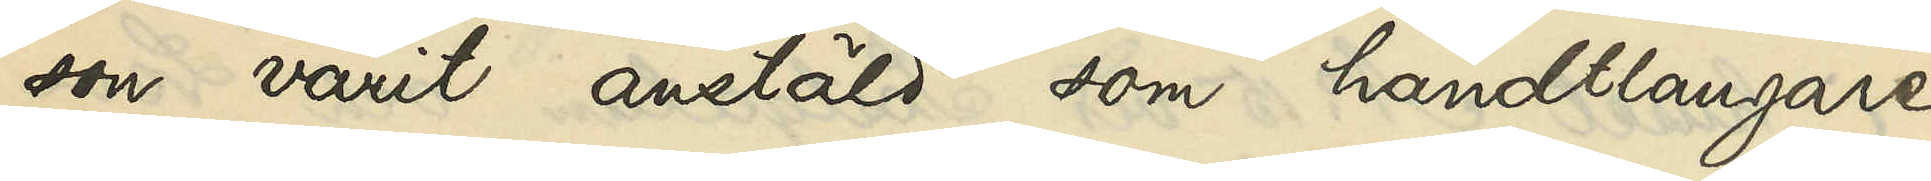son varit anstäld som handtlangare
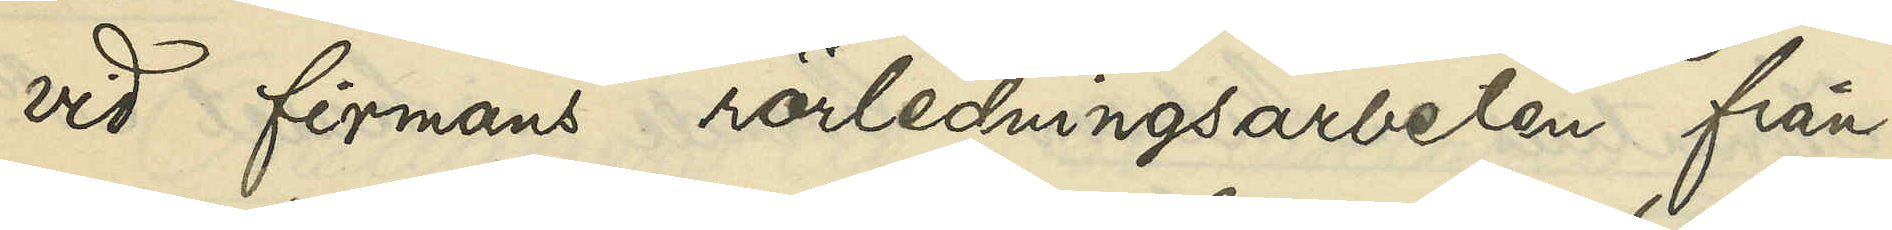vid firmans rörledningsarbeten från
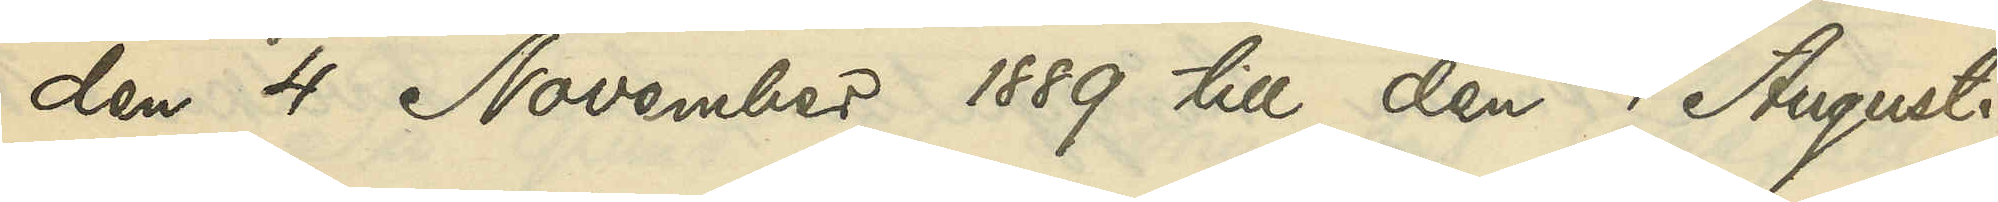den 4 November 1889 till den 1 Augusti
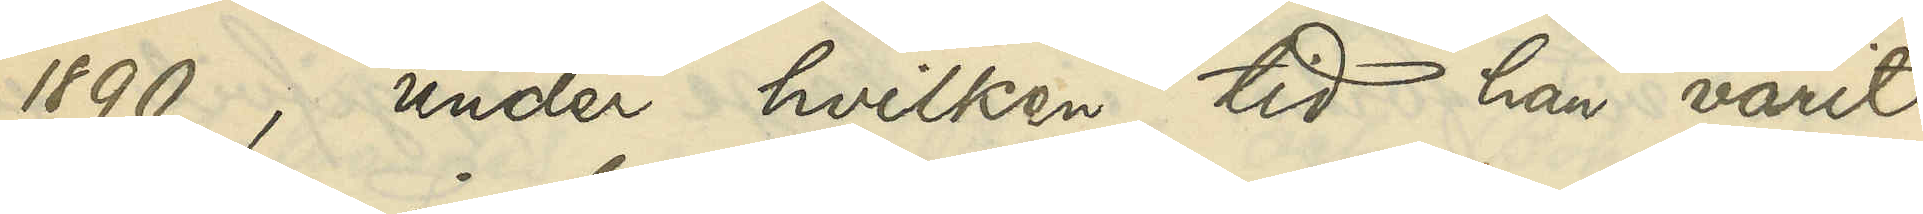1890, under hvilken tid han varit
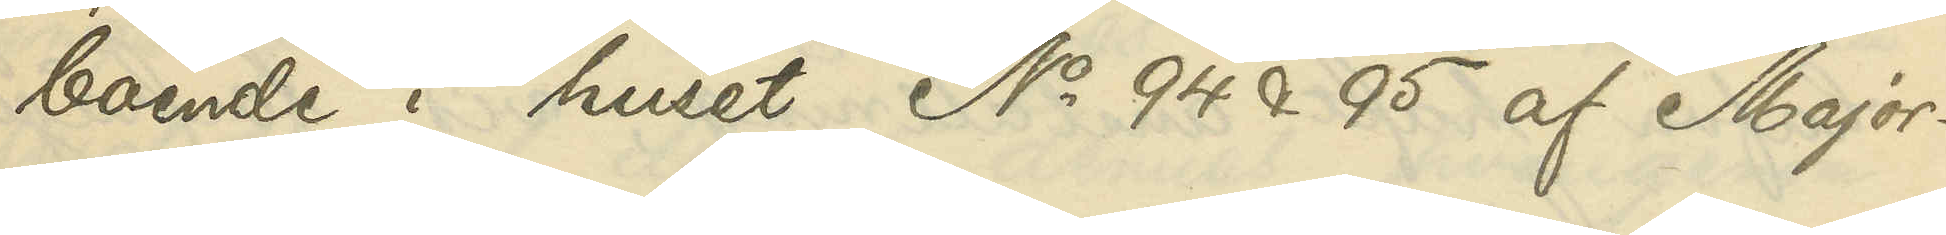boende i huset No 94 & 95 af Major¬
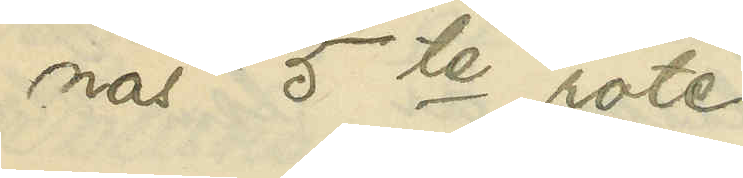nas 5te rote.
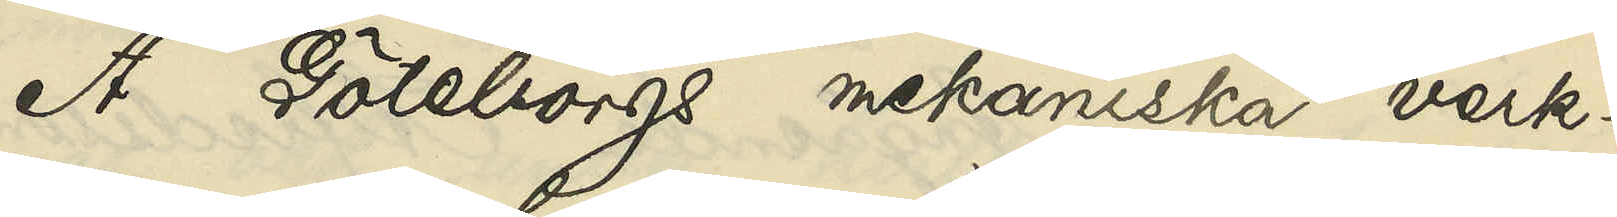Å Göteborgs mekaniska verk¬
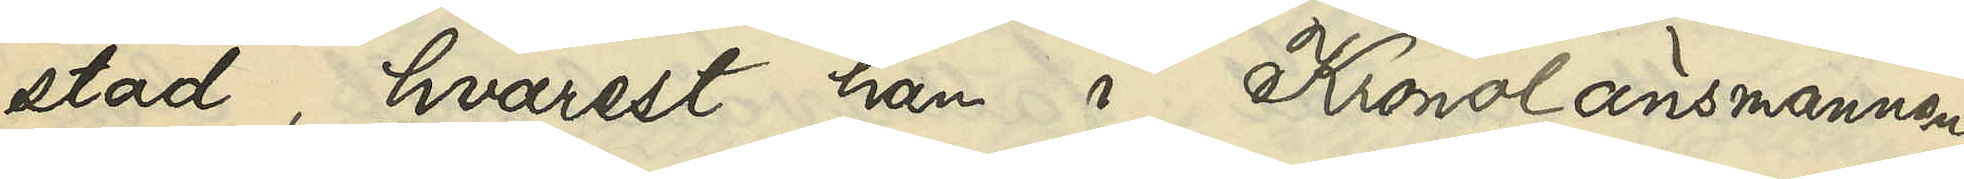stad, hvarest han i Kronolänsmannen
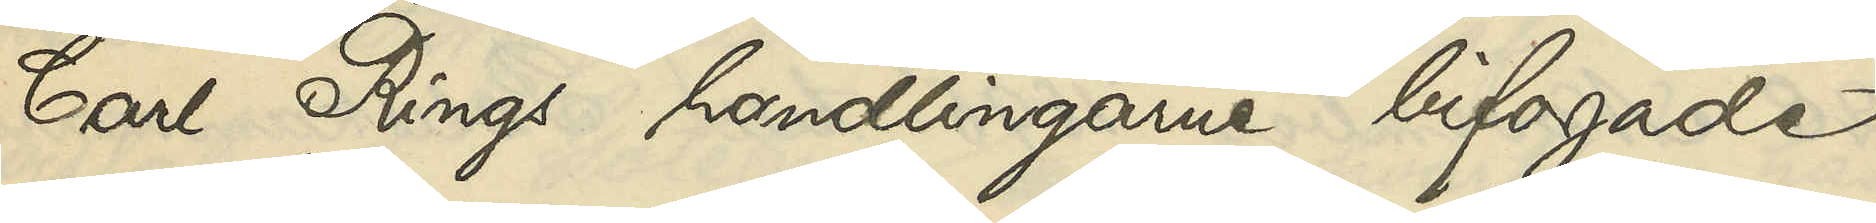Carl Rings handlingarne bifogade
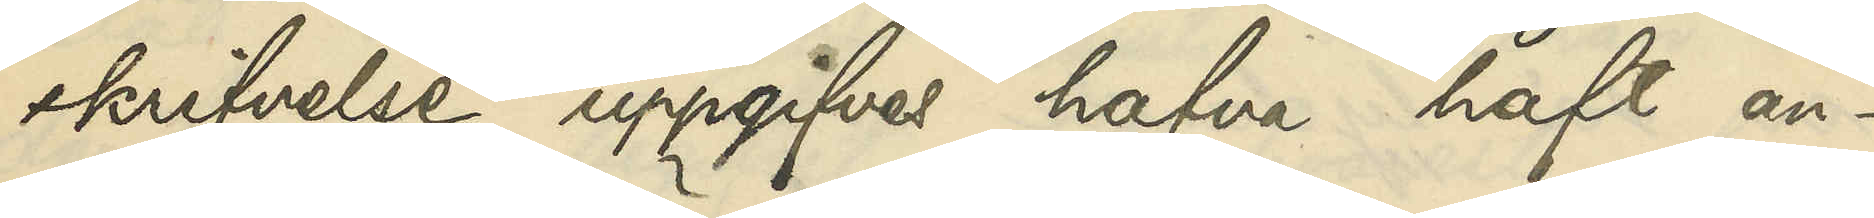skrifvelse uppgifves hafva haft an¬
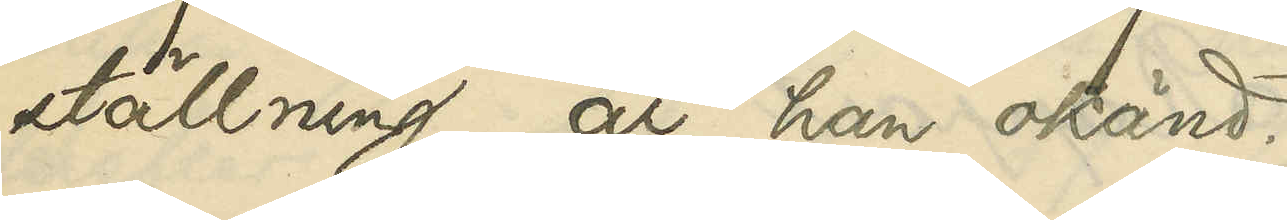ställning, är han okänd.
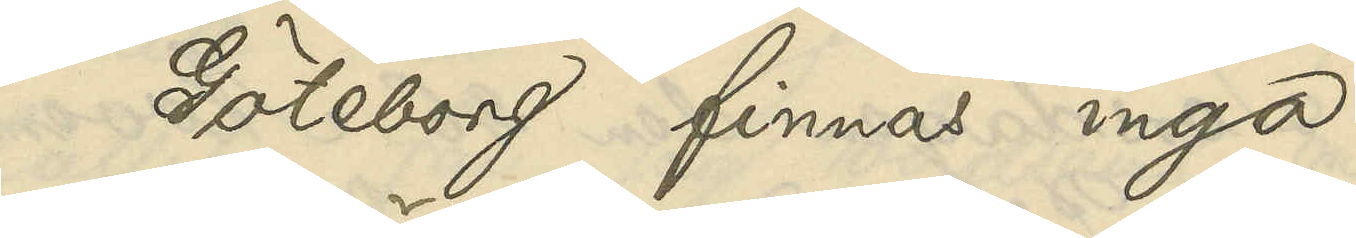I Göteborg finnas inga
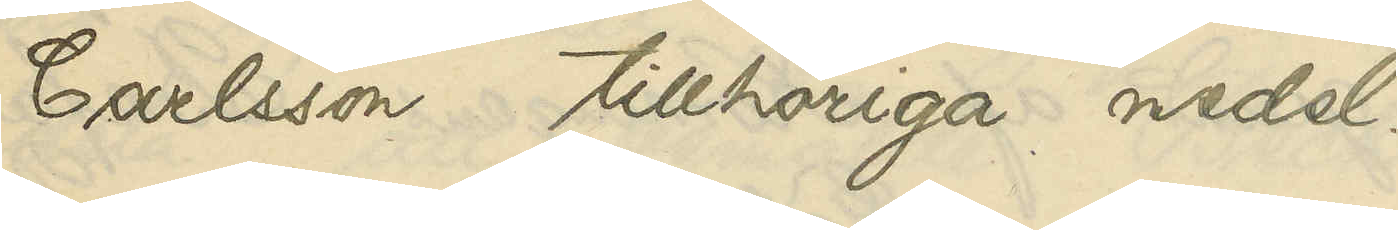Carlsson tillhöriga medel.
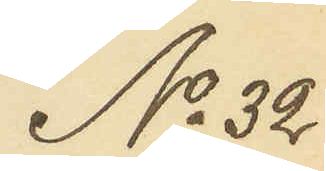No 32
